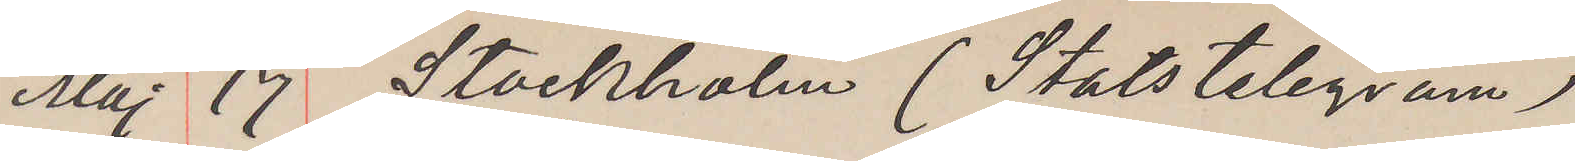Maj 17 Stockholm (Statstelegram)
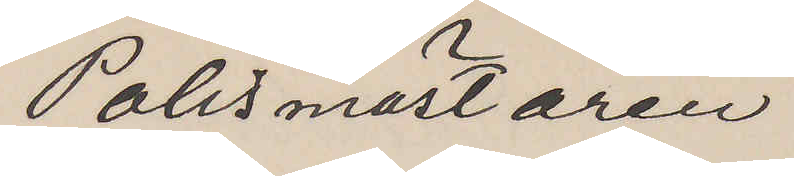Polismästaren
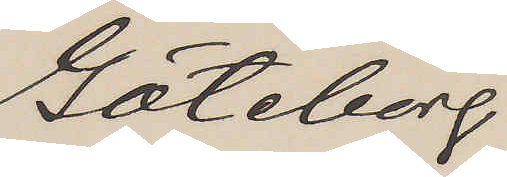Göteborg.
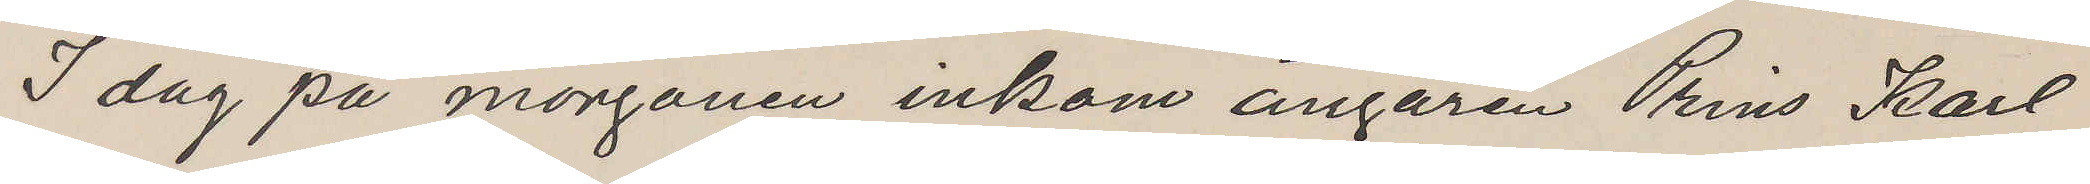I dag på morgonen inkom ångaren Prins Karl
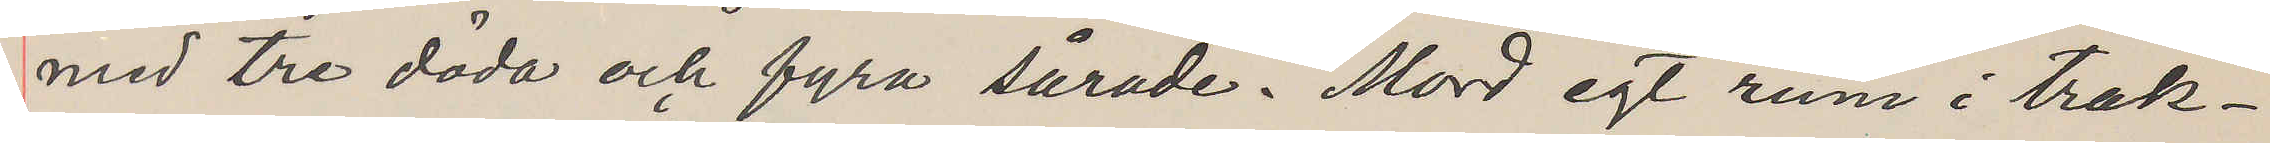med tre döda och fyra sårade. Mord egt rum i trak¬
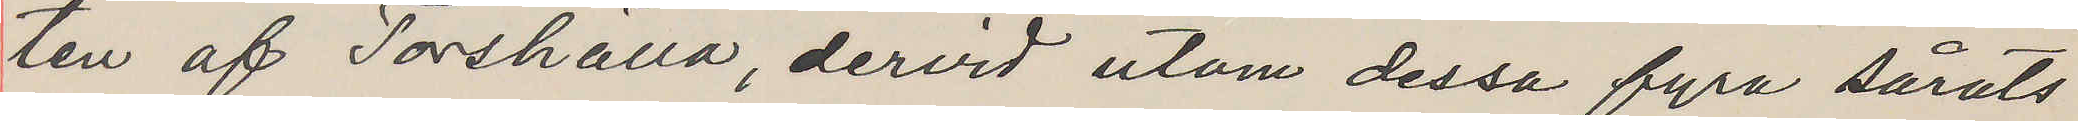ten af Torshälla dervid utom dessa fyra sårats
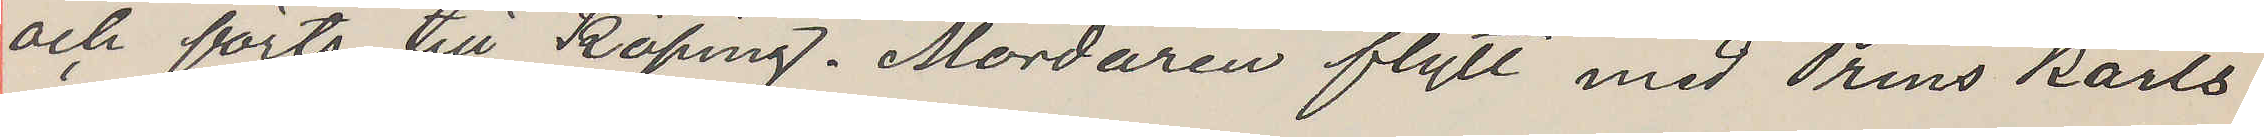och förts till Köping. Mördaren flytt med Prins Karls
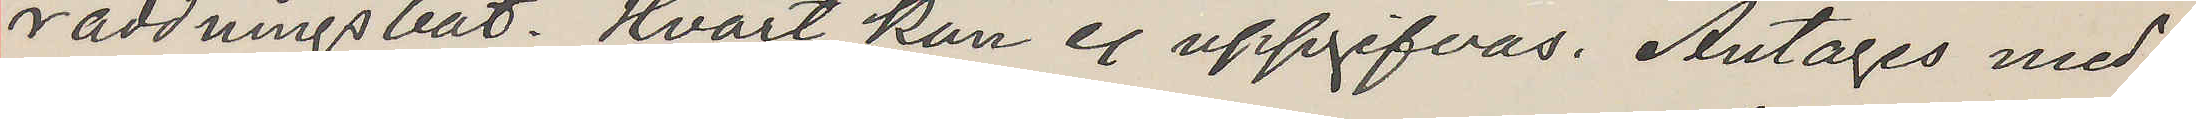räddningsbåt. Hvart kan ej uppgifvas. Antages med
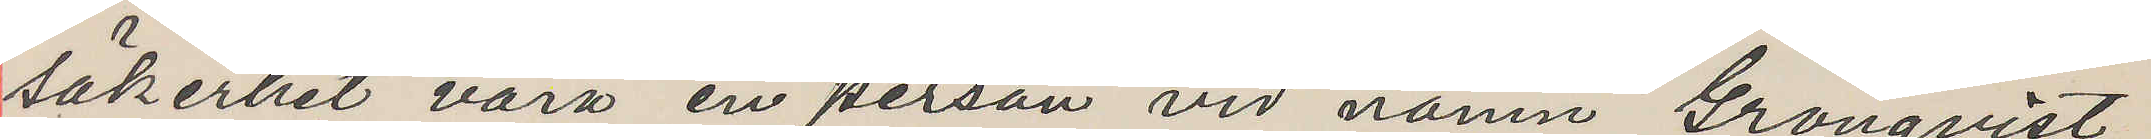säkerhet vara en person vid namn Grönqvist,
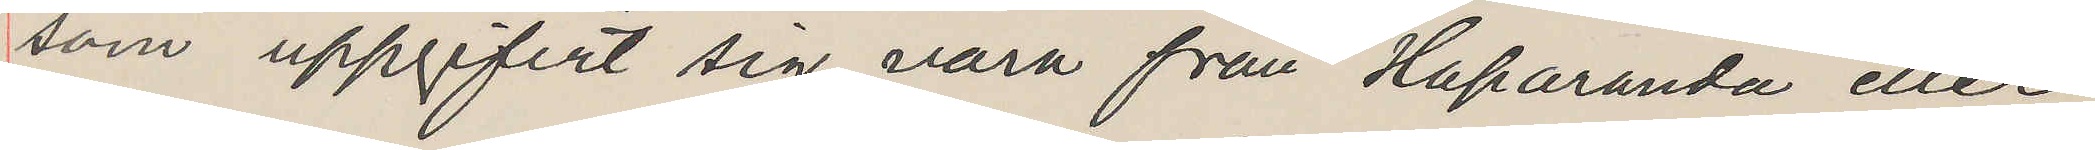som uppgifvit sig vara från Haparanda eller
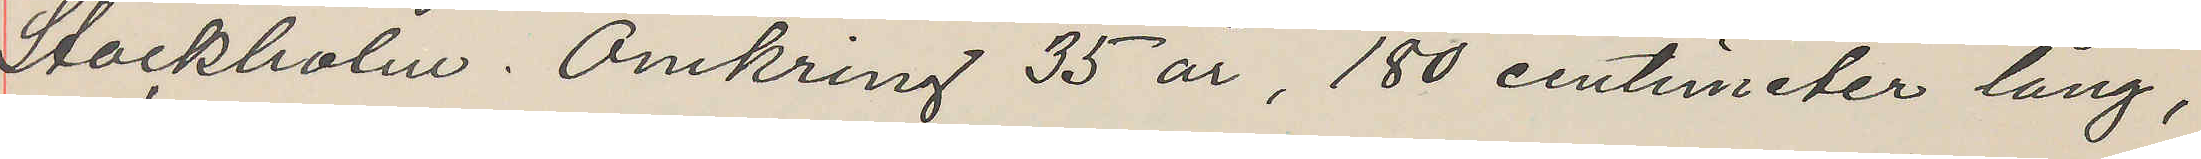Stockholm. Omkring 35 år, 180 centemeter lång,
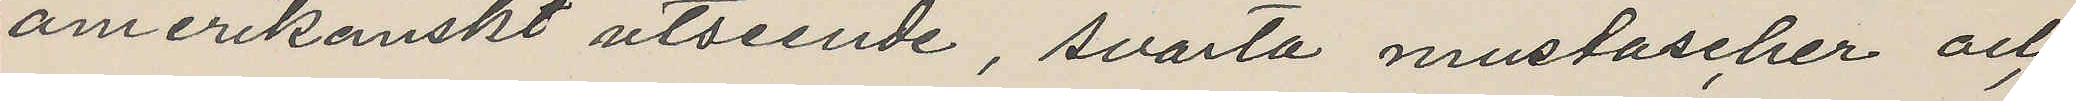amerikanskt utseende, svarta mustascher och
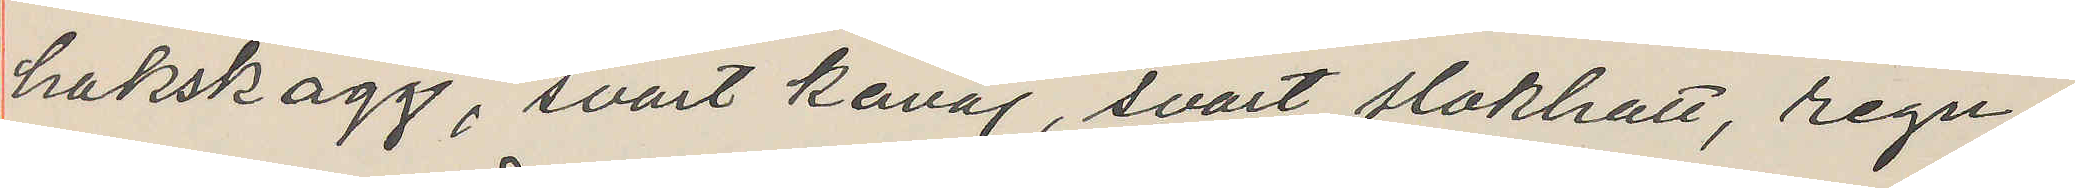hakskägg, svart kavaj, svart slokhatt, regn¬
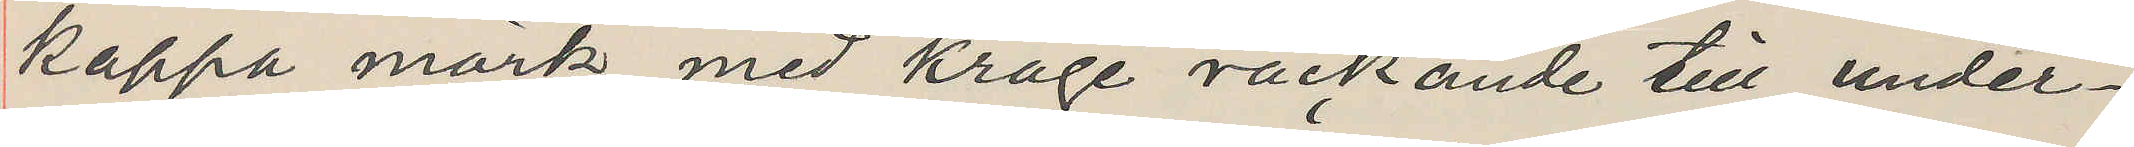kappa mörk med krage räckande till under¬
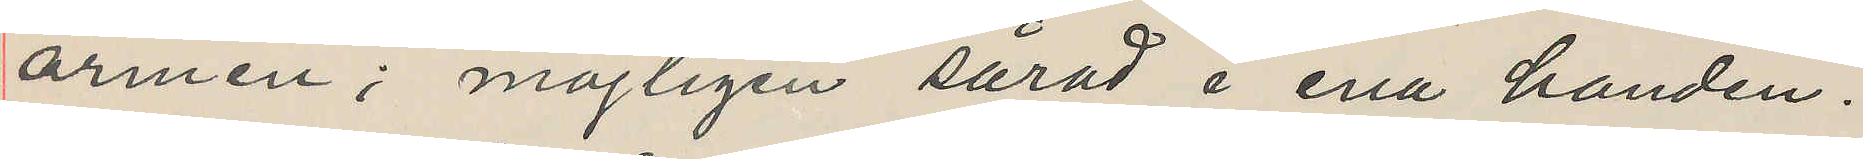armen; möjligen sårad i ena handen.
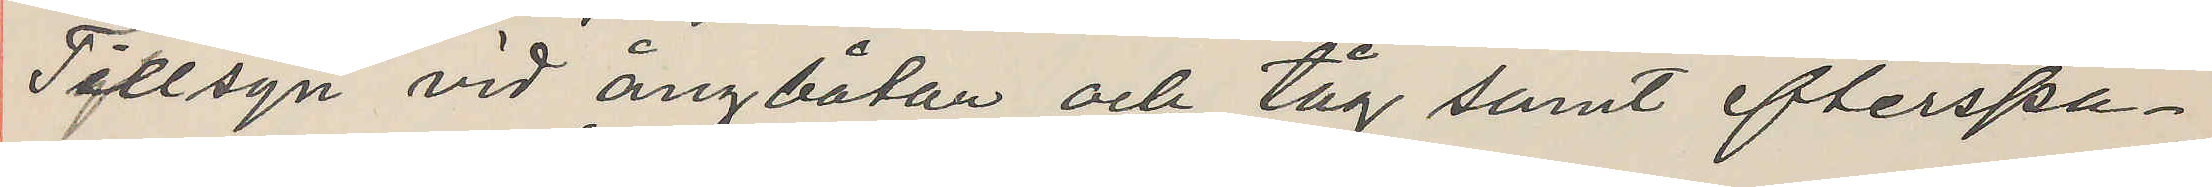Tillsyn vid ångbatan och tåg samt efterspa¬
